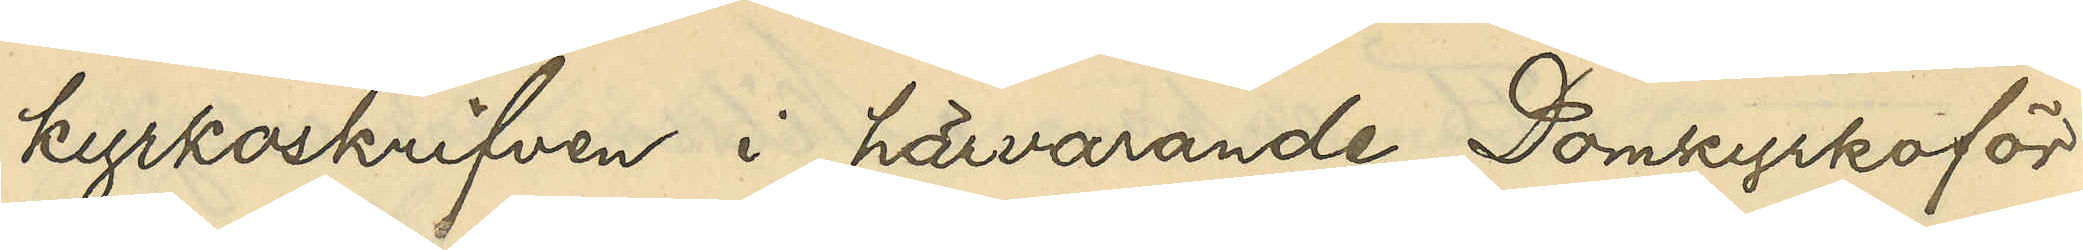kyrkoskrifven i härvarande Domkyrkoför¬
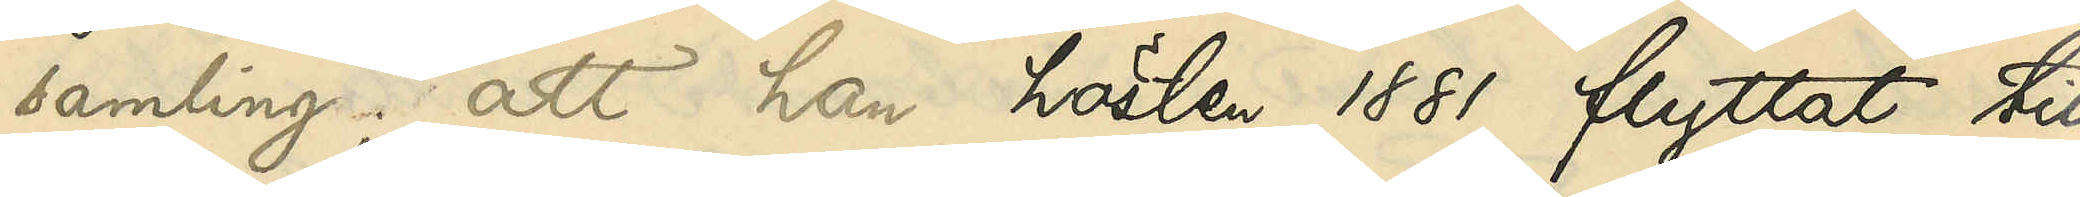samling, att han hösten 1881 flyttat till
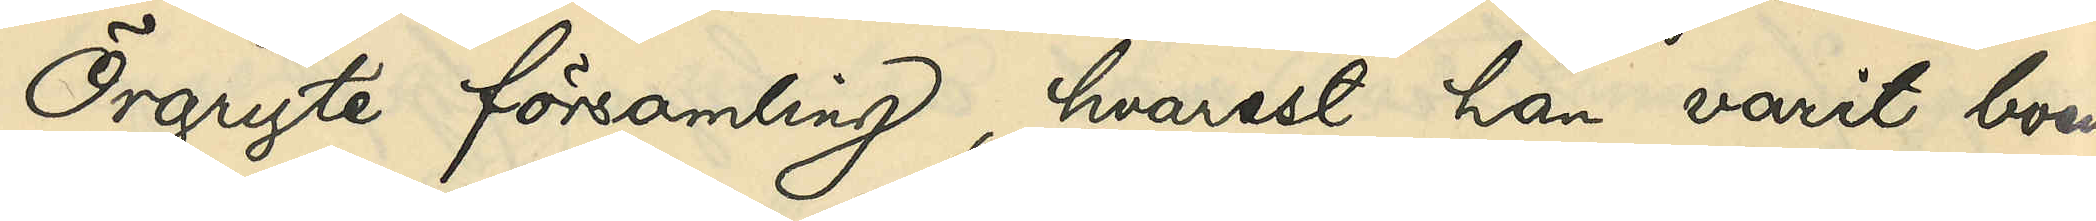Örgryte församling, hvarest han varit boende
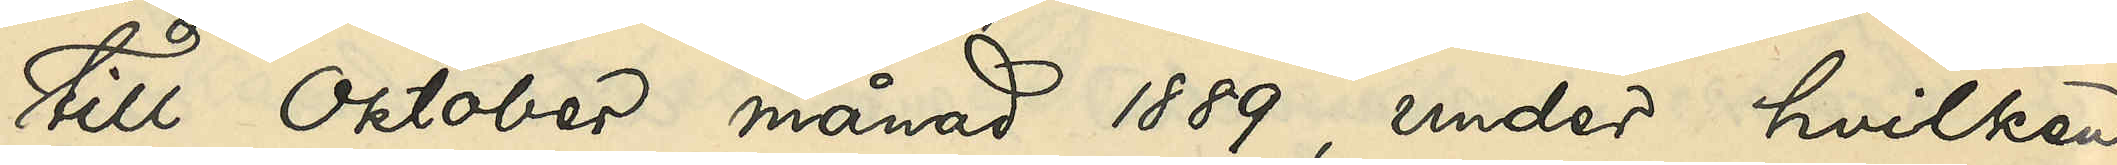till Oktober månad 1889 under hvilken
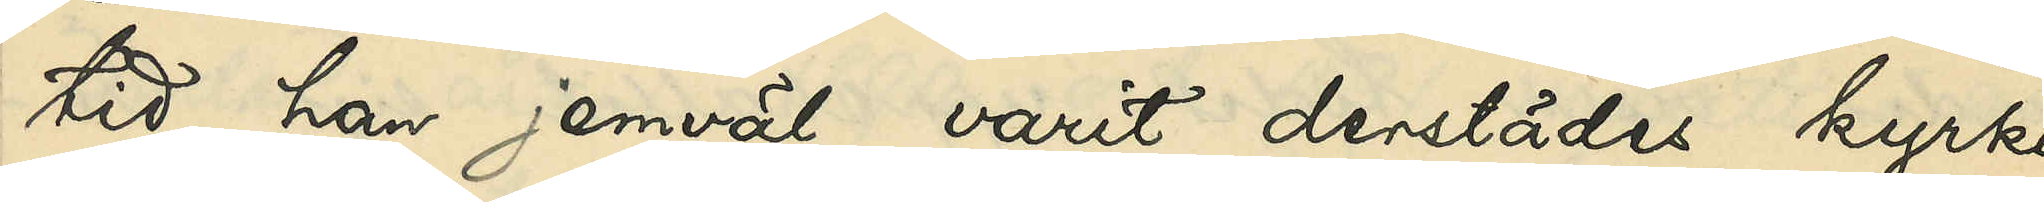tid han jemväl varit derstädes kyrko¬
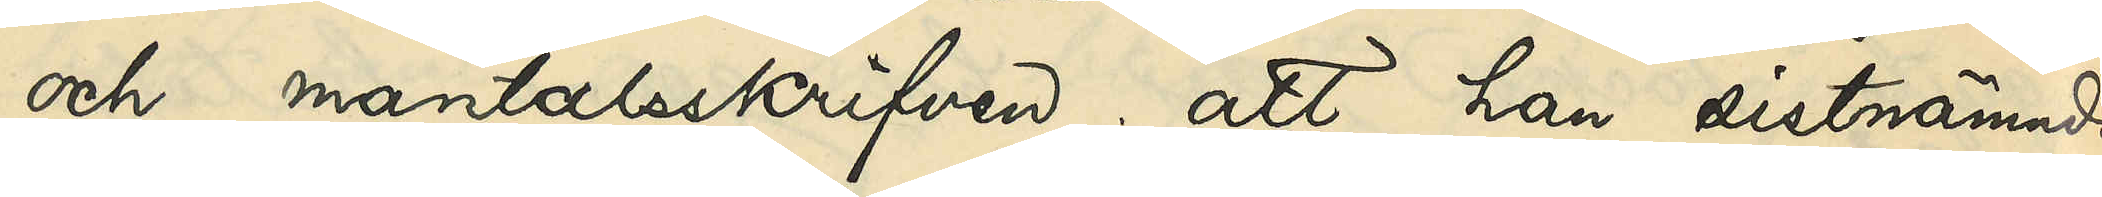och mantalsskrifven; att han sistnämnda
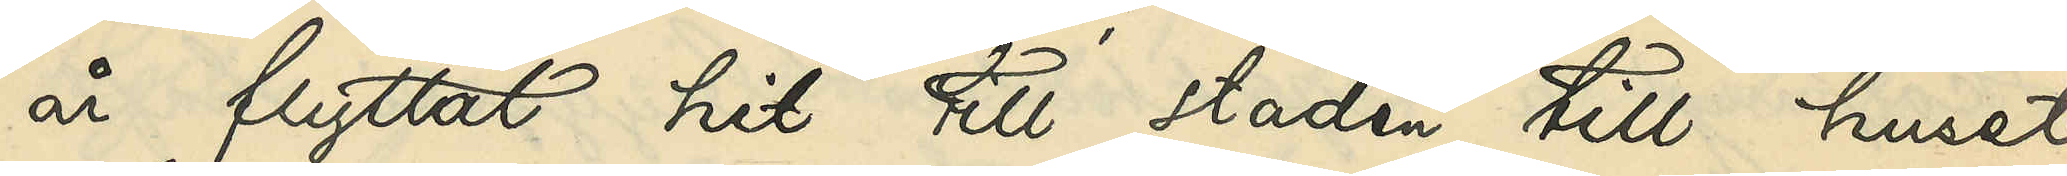år flyttat hit till staden till huset
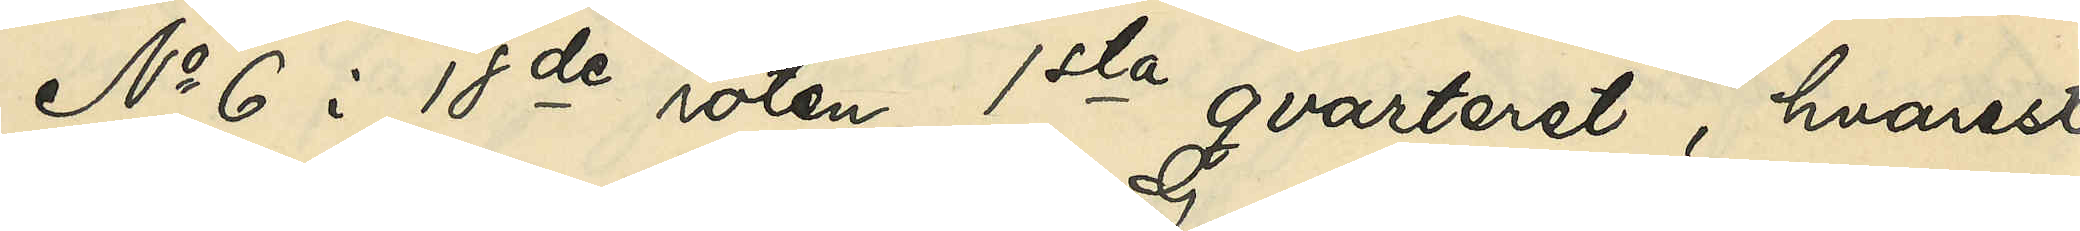No 6 i 18de roten 1sta qvarteret, hvarest
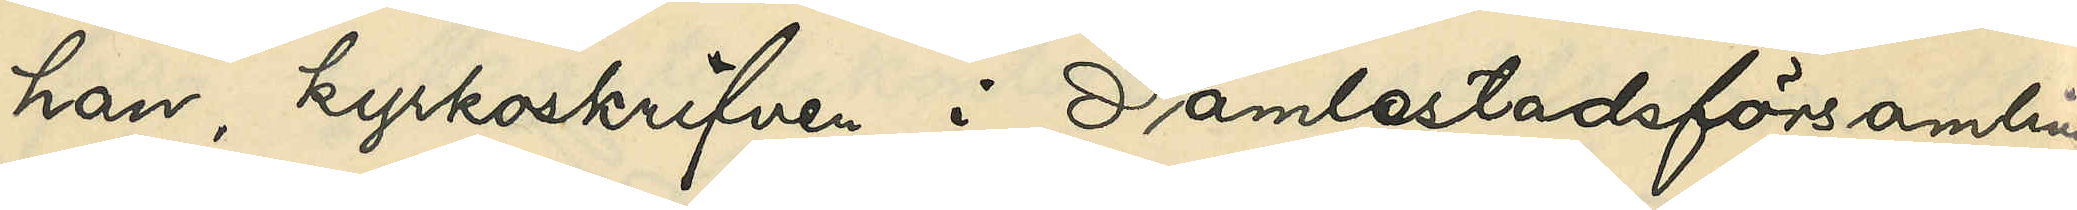han, kyrkoskrifven i Gamlestadsförsamlingen
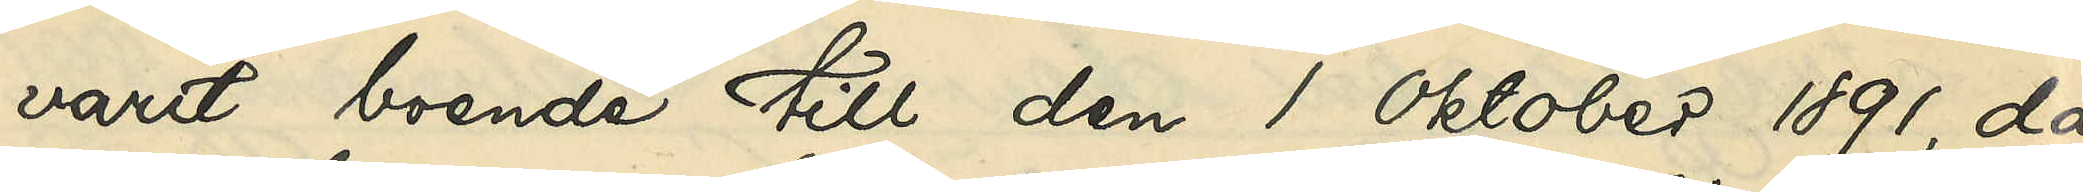varit boende till den 1 Oktober 1891, då
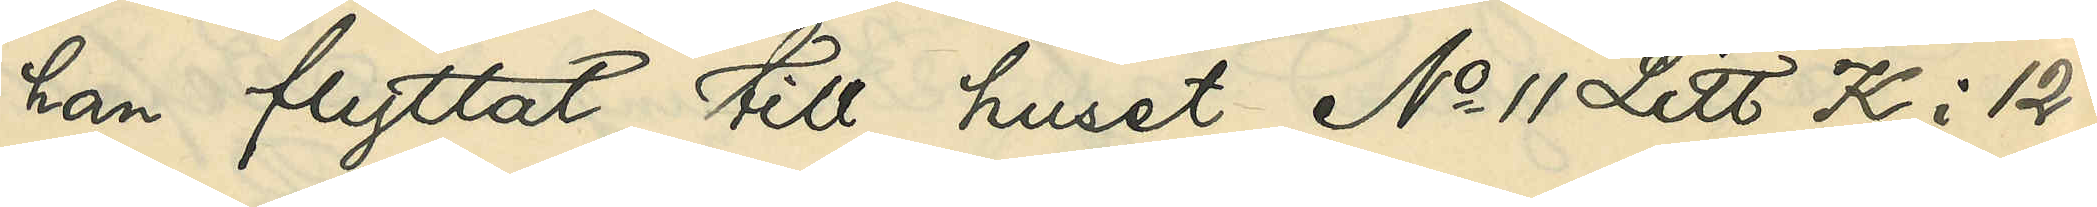han flyttat till huset No 11 Litt K i 12te
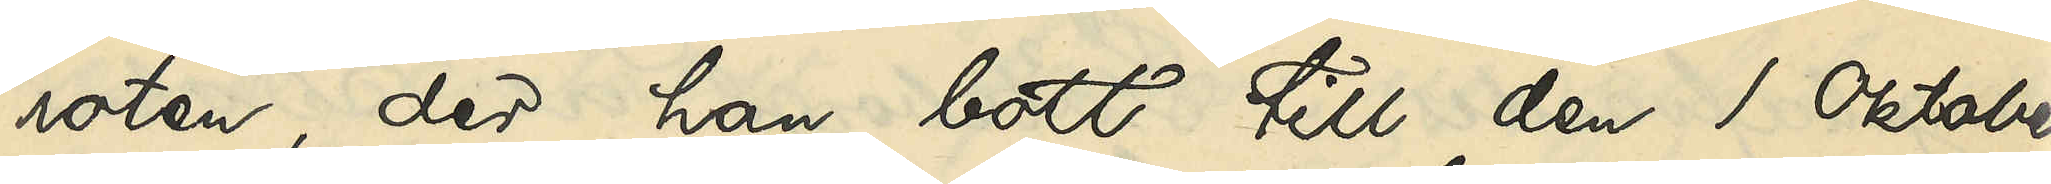roten, der han bott till den 1 Oktober
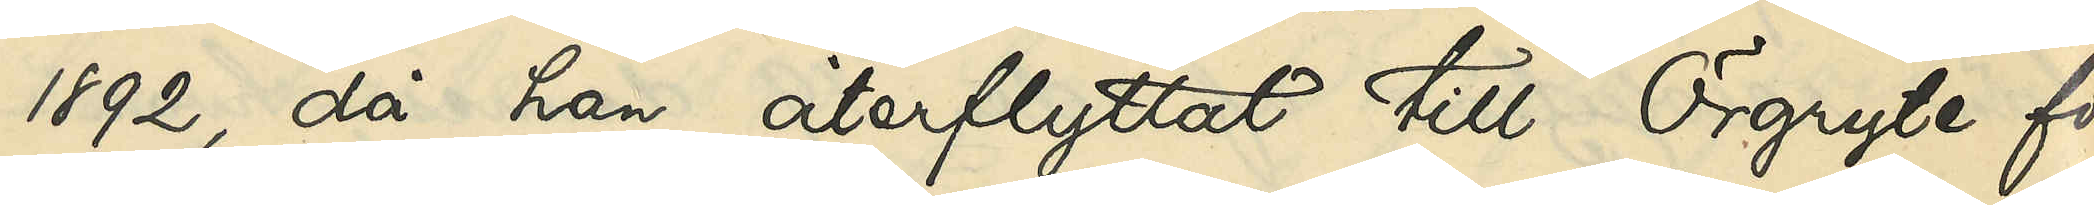1892 då han återflyttat till Örgryte för¬
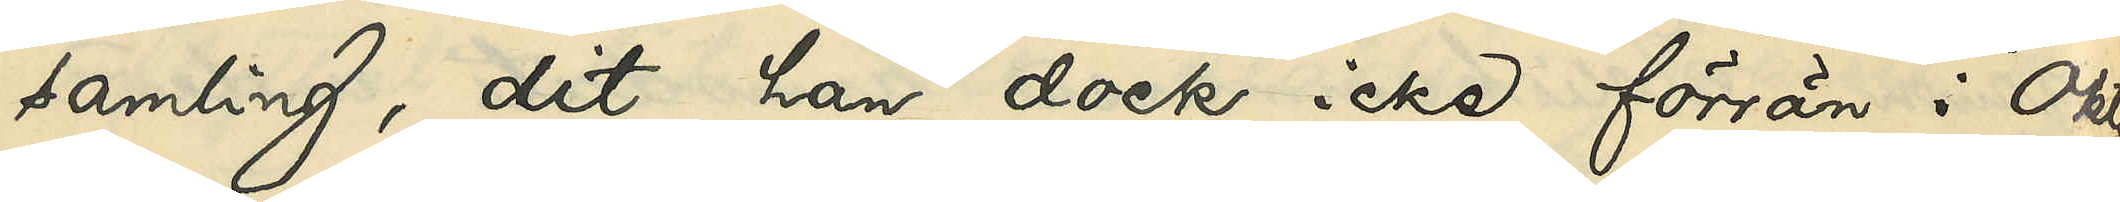samling, dit han dock icke förrän i Okto¬
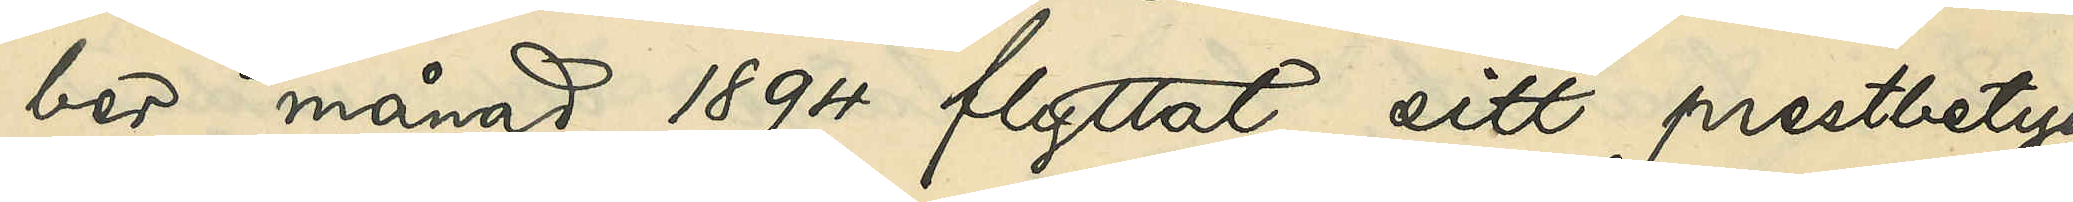ber månad 1894 flyttat sitt prestbetyg,
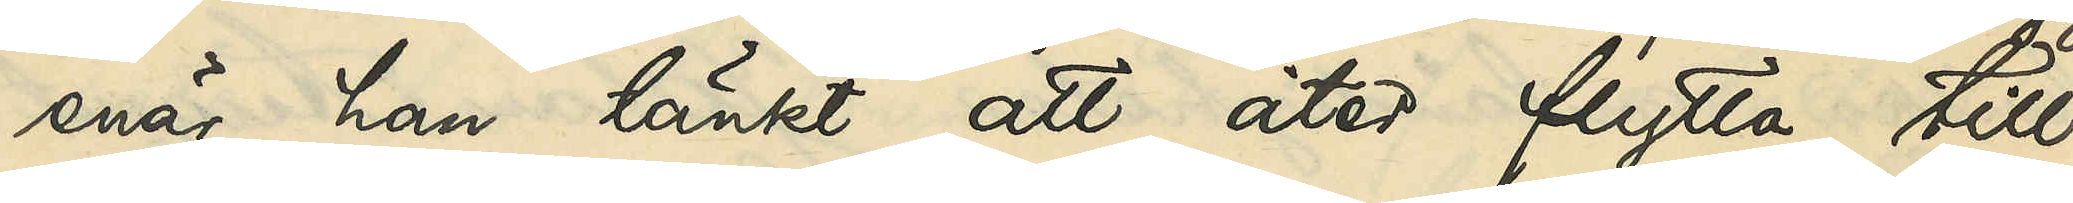enär han tänkt att åter flytta till
